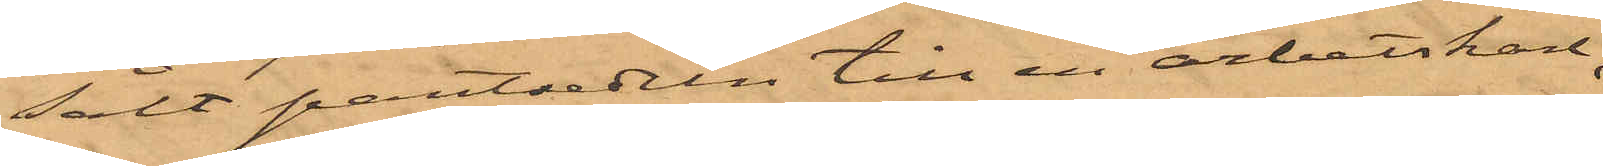sålt pantsedeln till en arbetskarl,
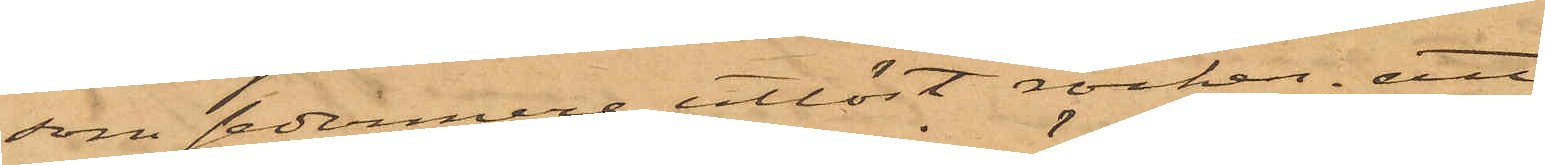som sedermere utlöst rocken; att
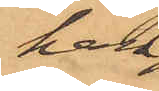han
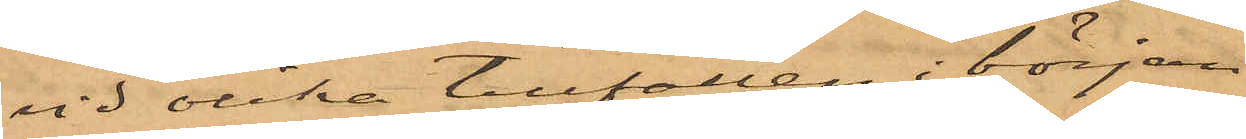vid olika tillfällen i början
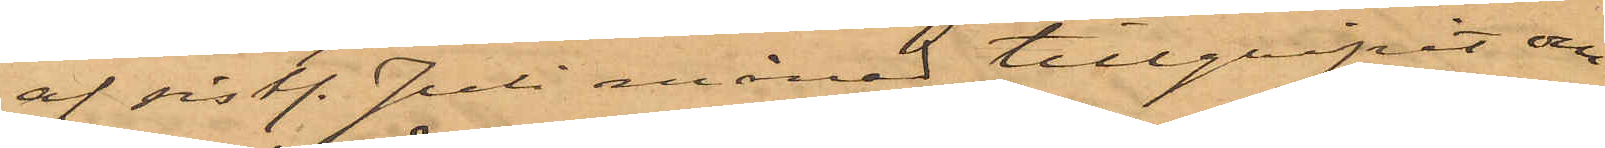af sist. Juli månad tillgripit om¬
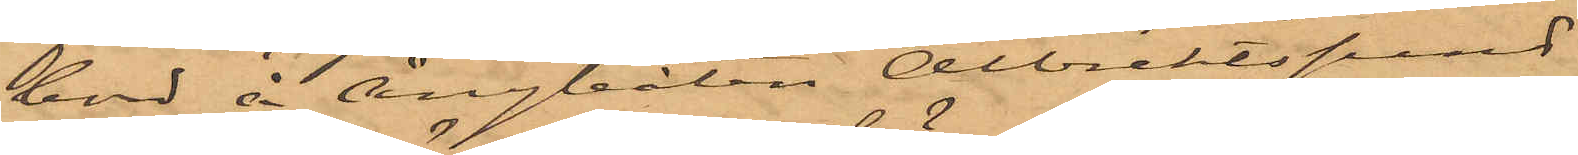bord å Ångbåten Albrektsund
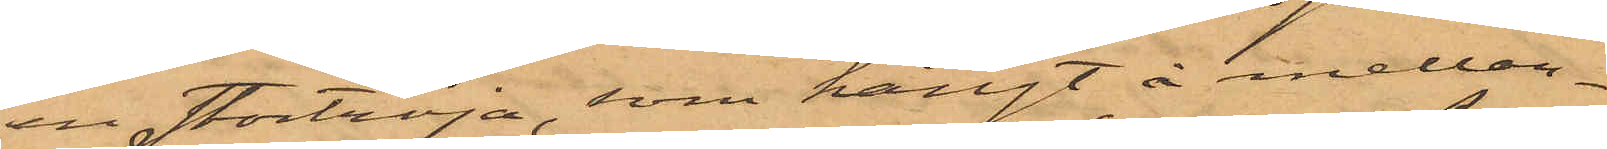en stortröja, som hängt å mellan¬
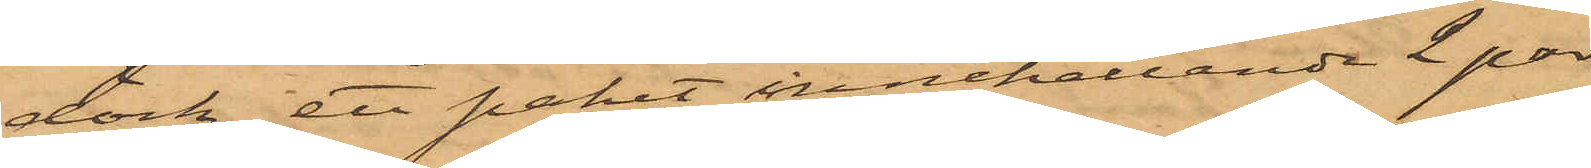däck, ett paket innehållande 2 par
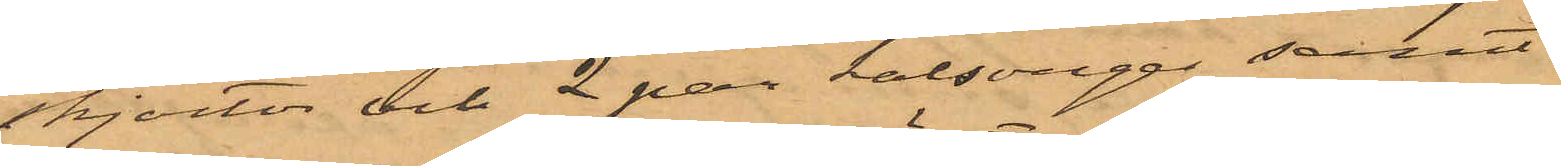skjortor och 2 par kalsonger samt
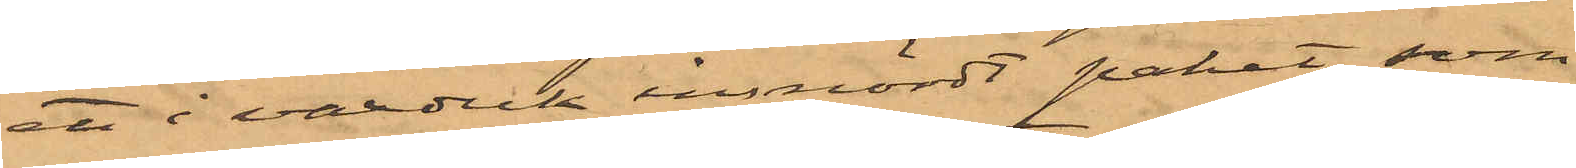ett i vaxduk insnördt paket, som
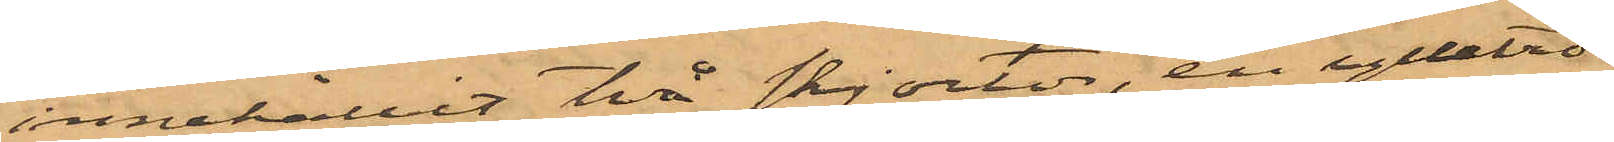innehållit två skjortor, en ylletrö¬
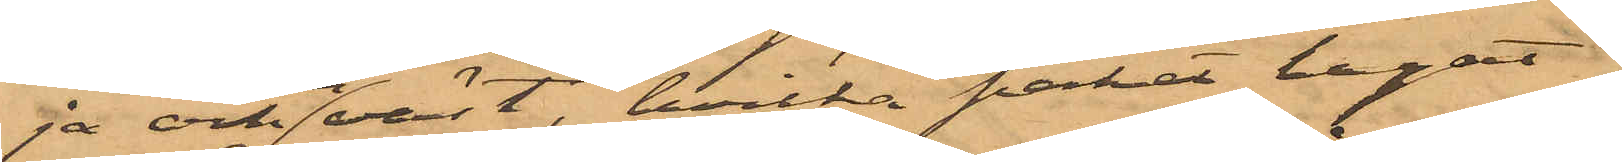ja och en väst, hvilka paket legat
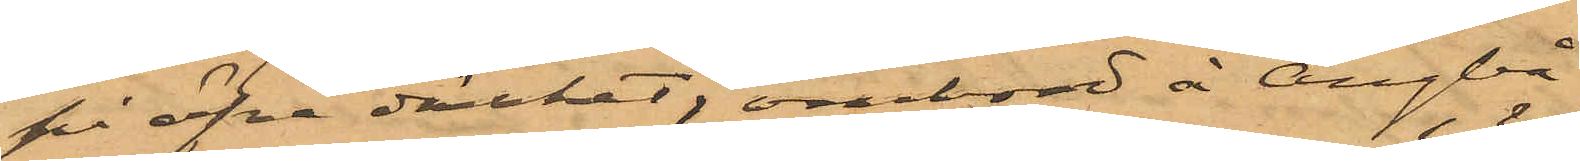på öfve däcket; ombord å Ångbå¬
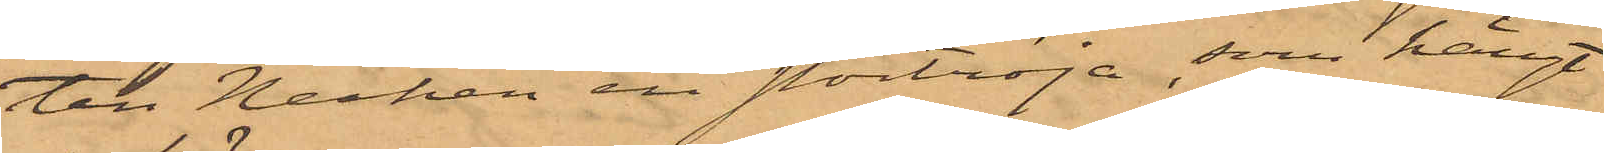ten Necken en stortröja som hängt
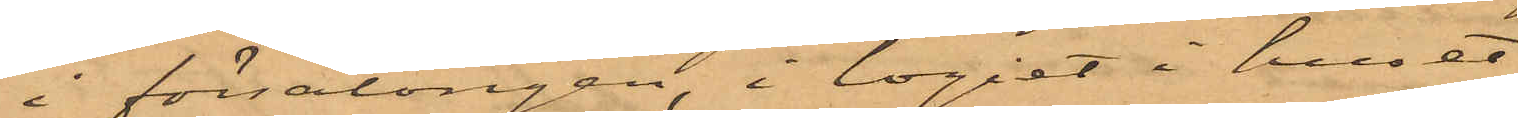i försalongen,; i logiet i huset
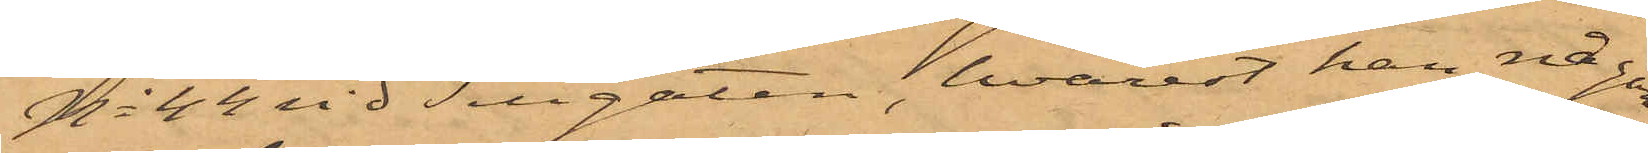No 44 vid Sillgatan, hvarest han någon
